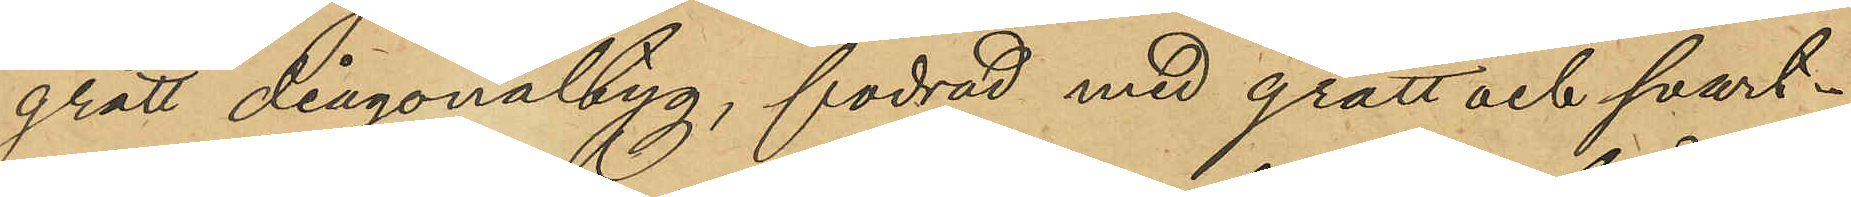grått diagonaltyg, fodrad med grått och svart¬
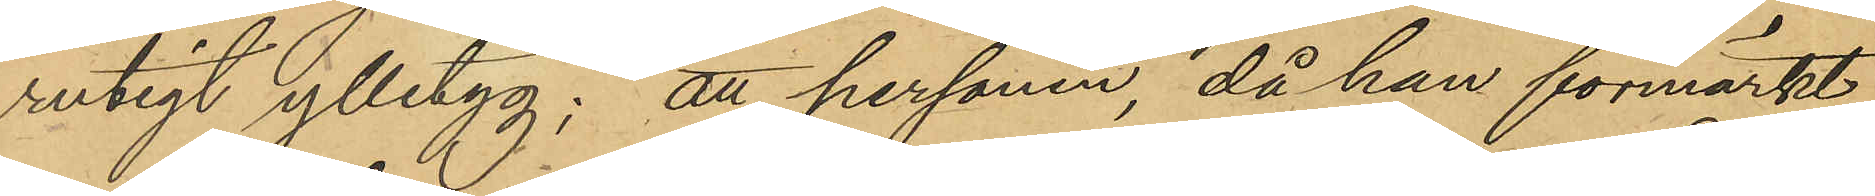rutigt ylletyg; att personen, då han förmärkt
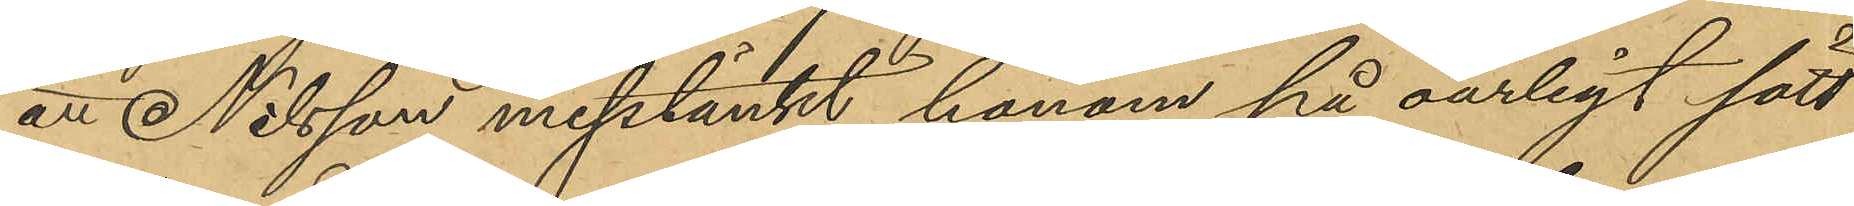att Nilsson misstänkt honom på oärligt sätt
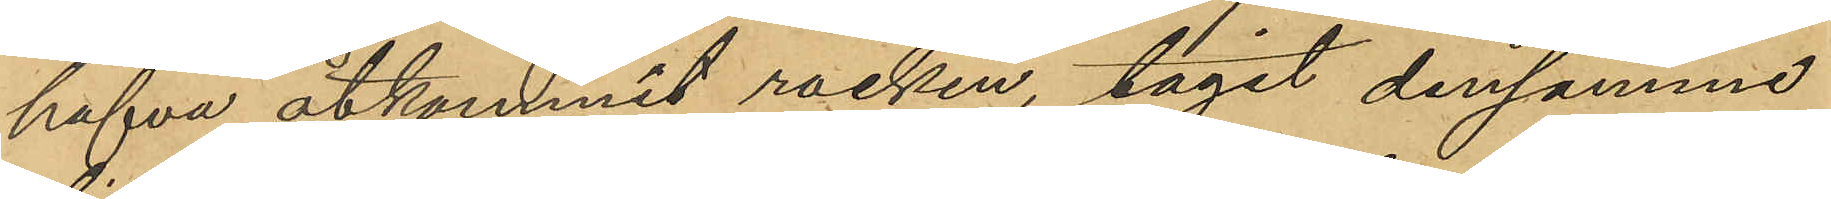hafva åtkommit rocken, tagit densamme
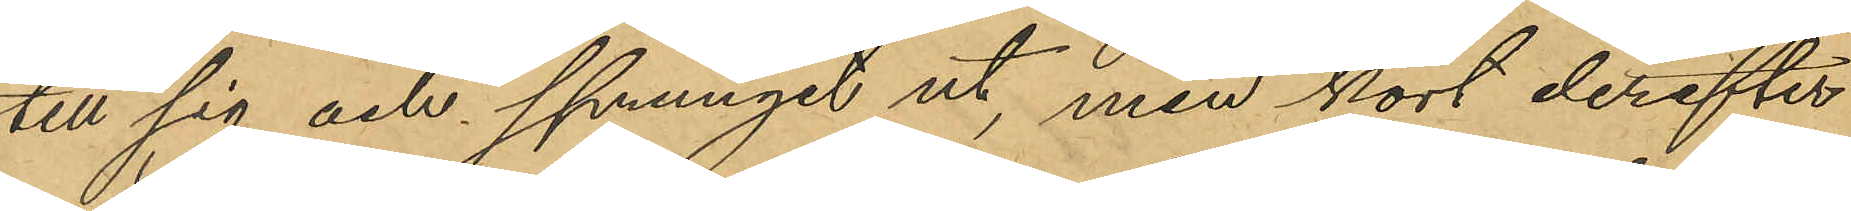till sig och sprungit ut, men kort derefter
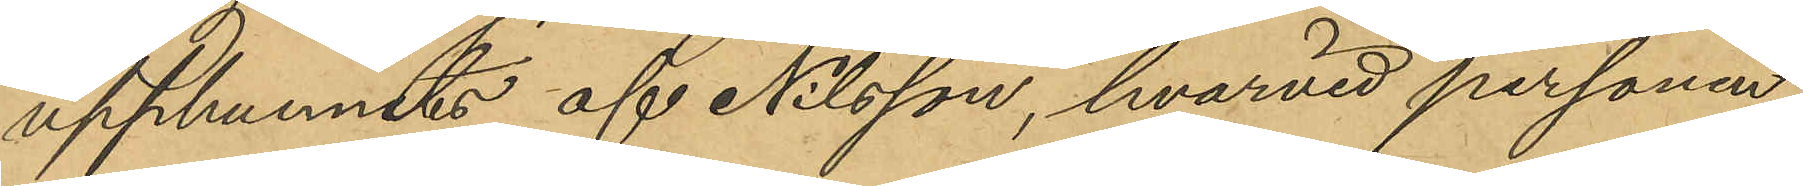upphunnits af Nilsson, hvarvid personen
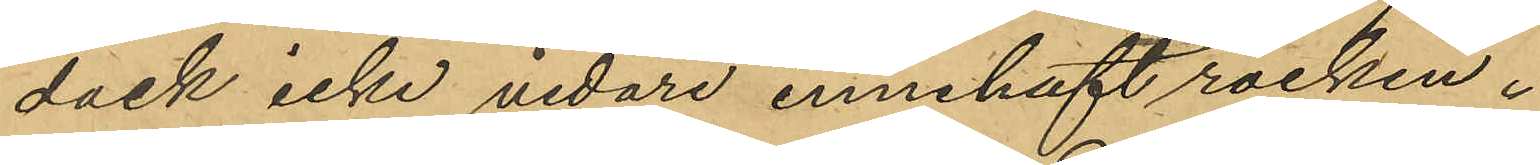dock icke vidare innehaft rocken.
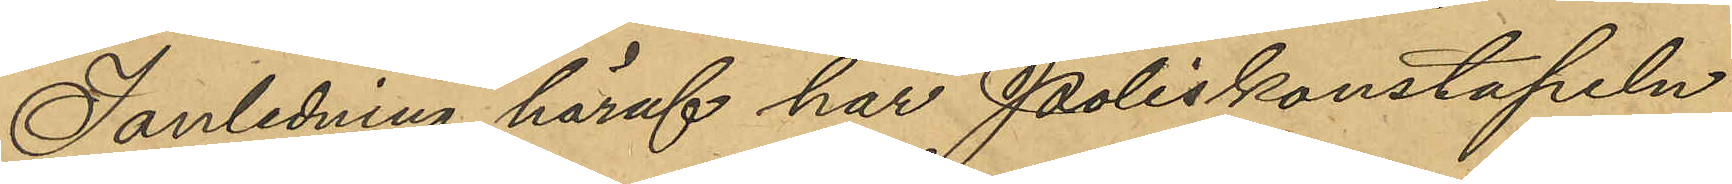I anledning häraf har Poliskonstapeln
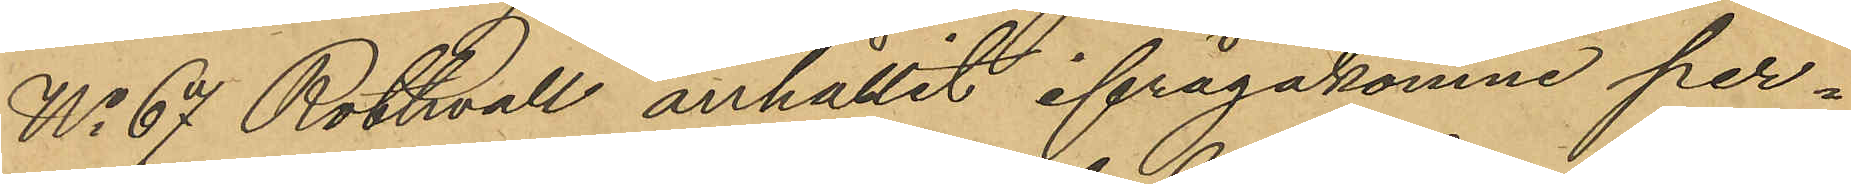No 67 Rothvall anhållit ifrågakomne per¬
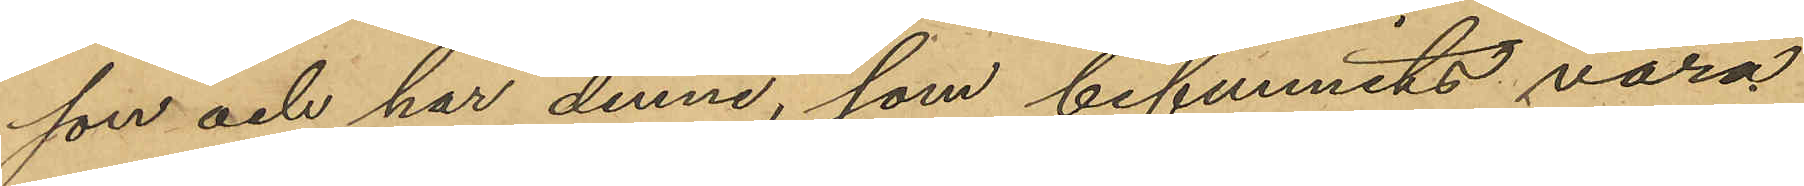son och har denne, som befunnits vara
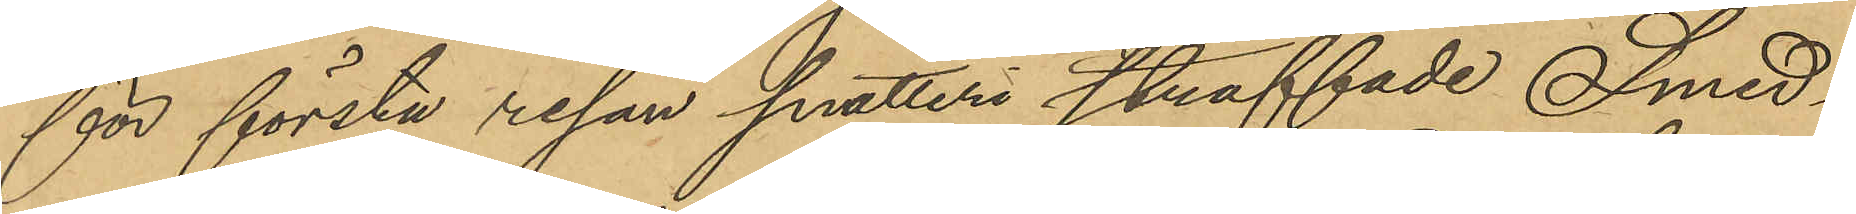för första resan snatteri straffade Smed¬
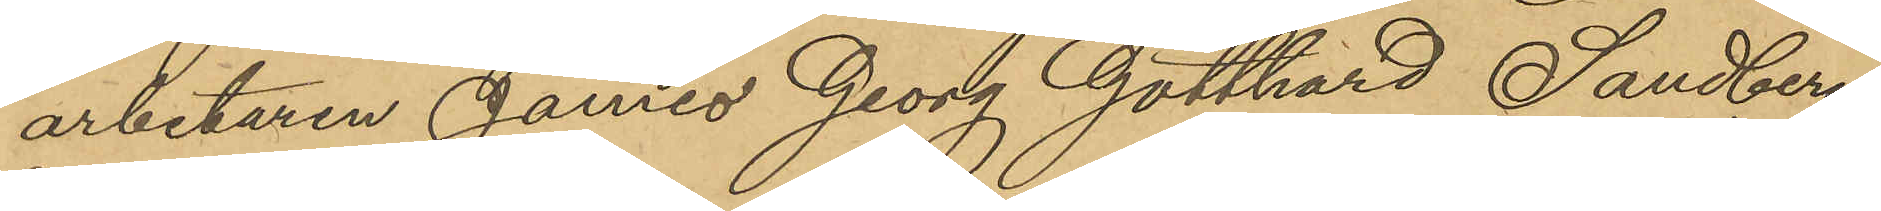arbetaren James Georg Gotthard Sandberg,
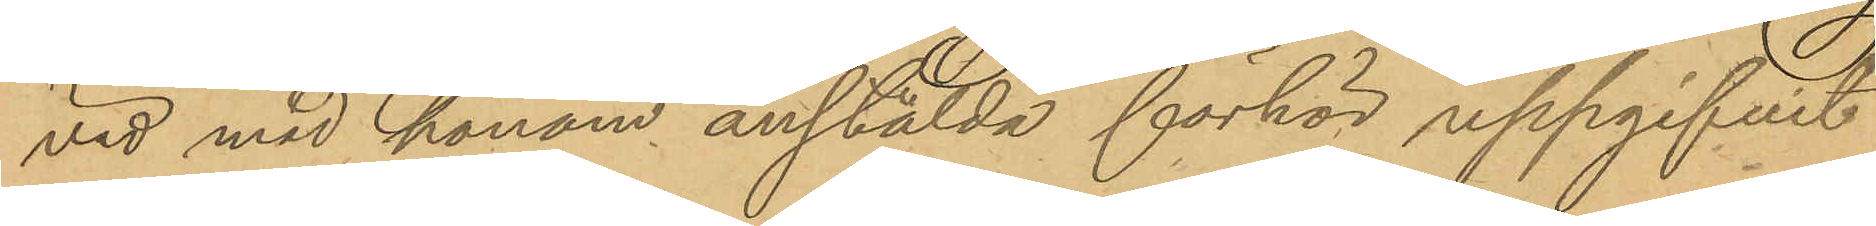vid med honom anstälda förhör uppgifvit
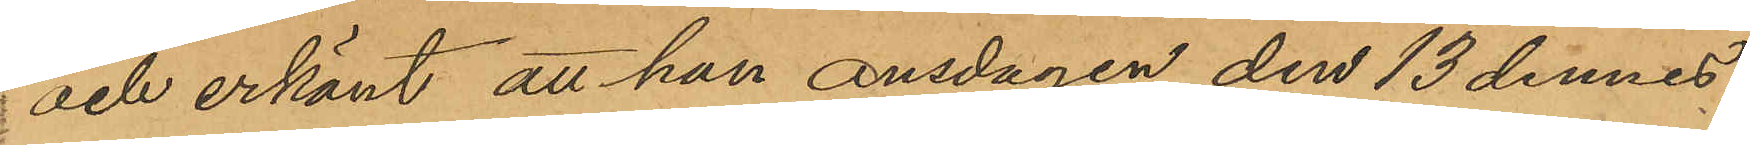och erkänt att han onsdagen den 13 dennes
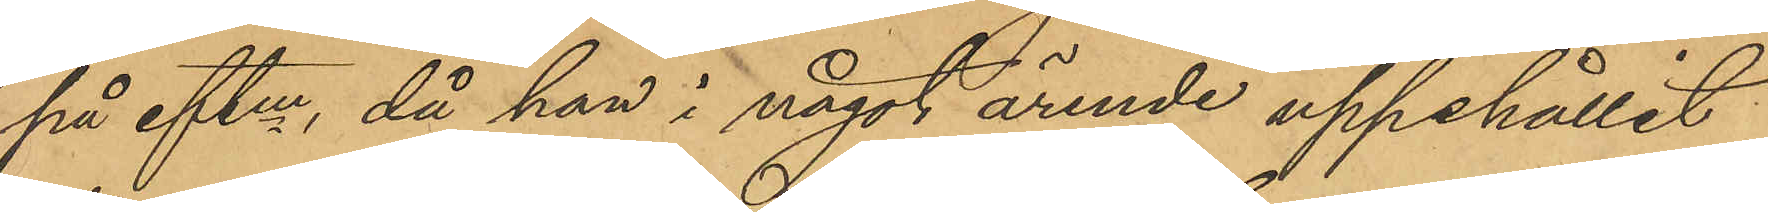på eftm, då han i något ärende uppehållit
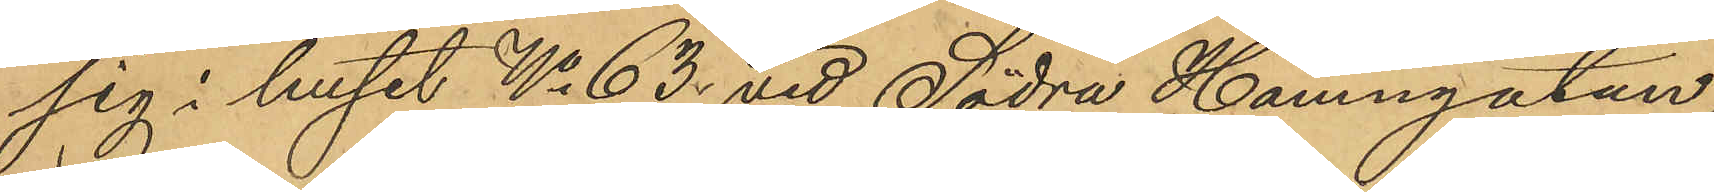sig i huset No 63 vid Södra Hamngatan
